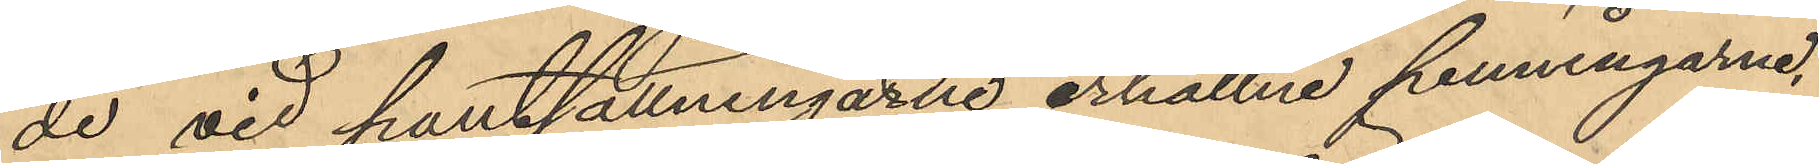de vid pantsättningarne erhållne penningarne,
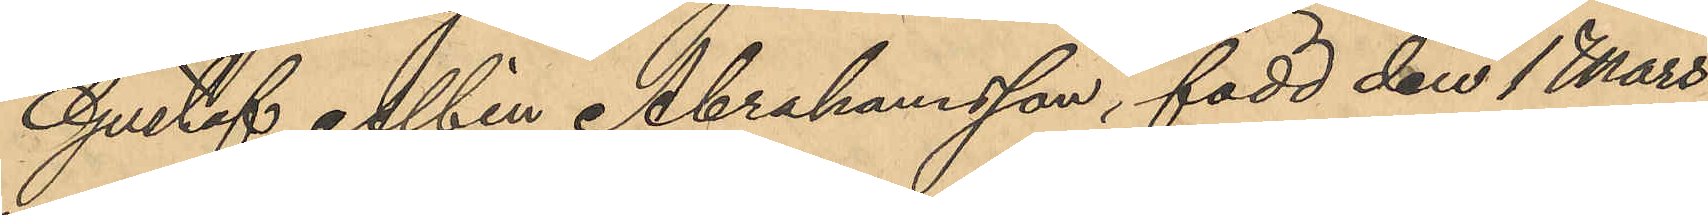Gustaf Albin Abrahamsson, född den 1 Mars
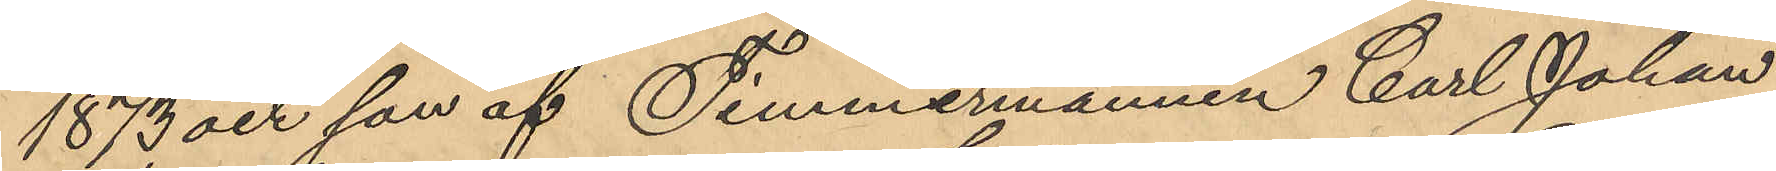1873 och son af Timmermannen Carl Johan
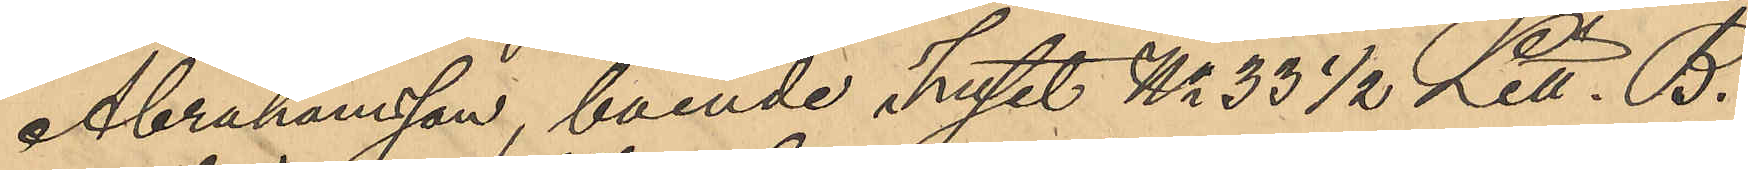Abrahamsson, boende i huset No 33 1/2 Litt. B.
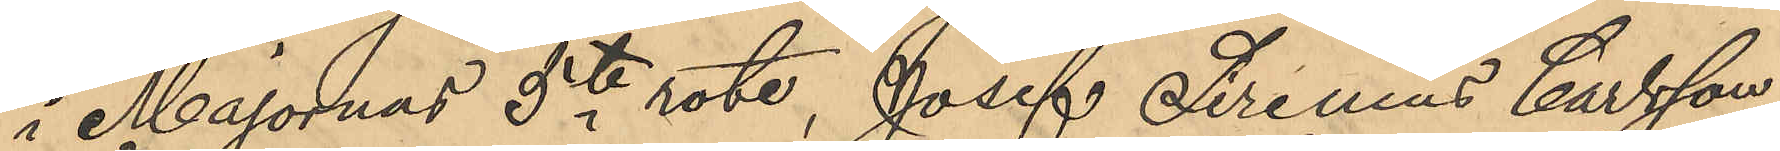i Majornas 5te rote, Josef Sirenius Carlsson,
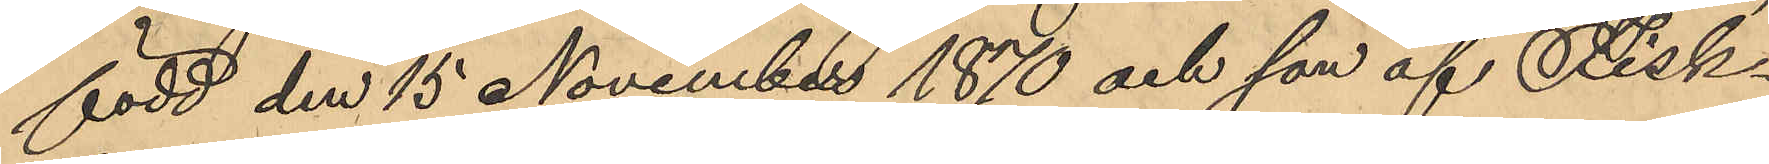född den 15 November 1870 och son af Fisk¬
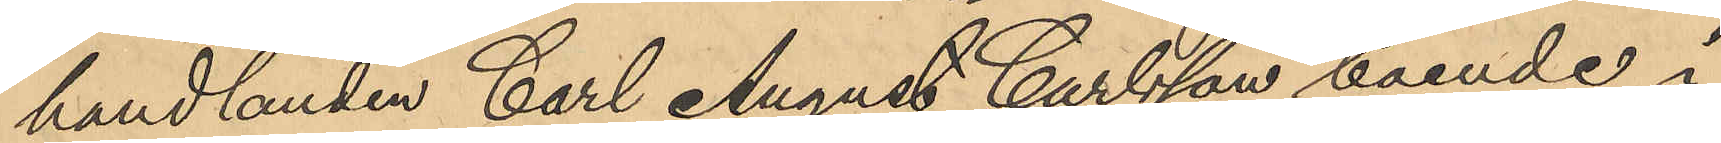handlanden Carl August Carlsson, boende i
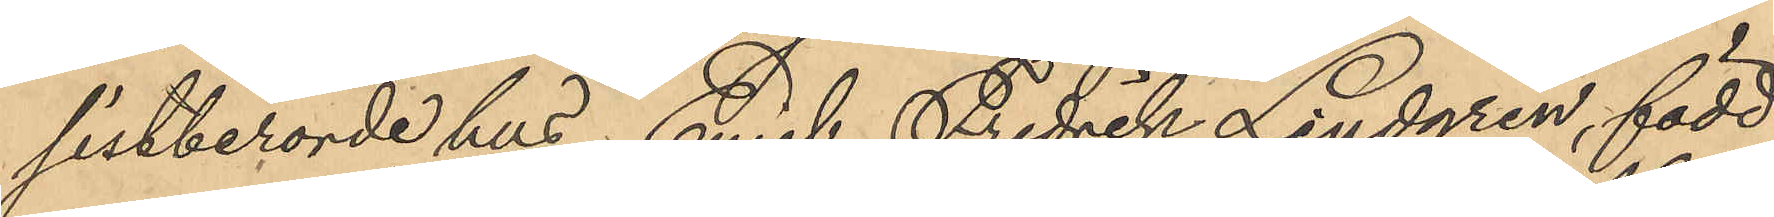sistberörde hus, Emil Fredrik Lindgren, född
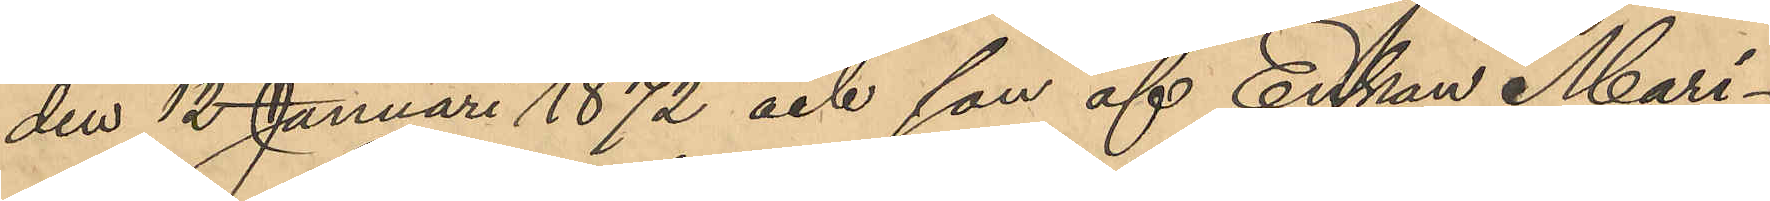den 12 Januari 1872 och son af Enkan Mari¬
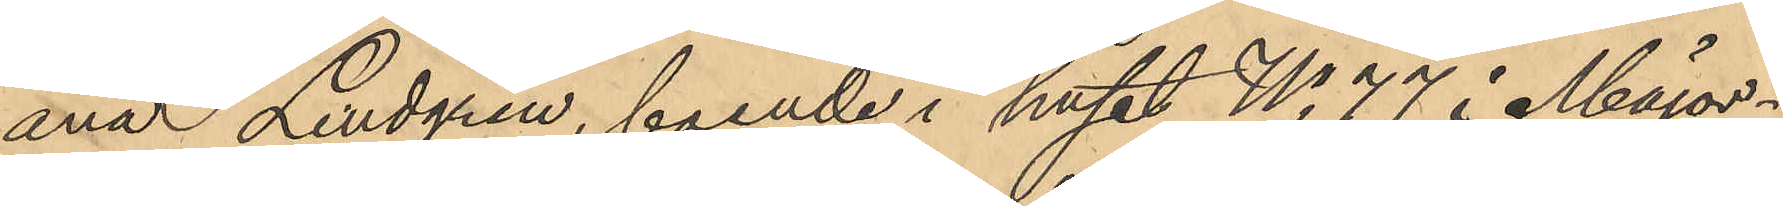ana Lindgren, boende i huset No 77 i Major¬
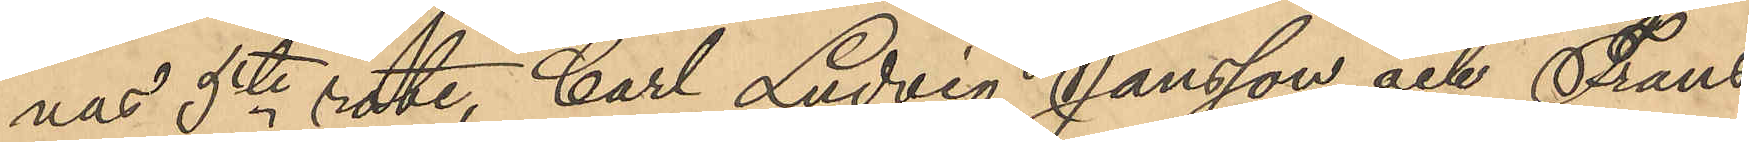nas 5te rote, Carl Ludvig Jansson och Frans
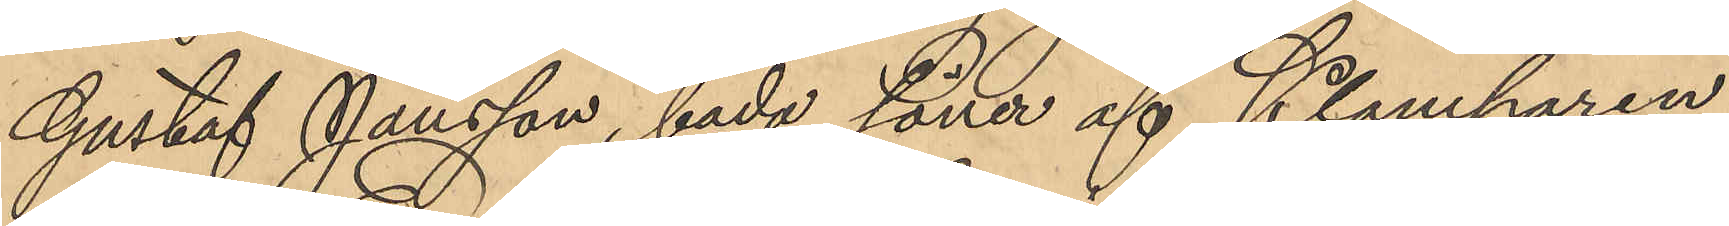Gustaf Jansson, båda söner af Klamparen
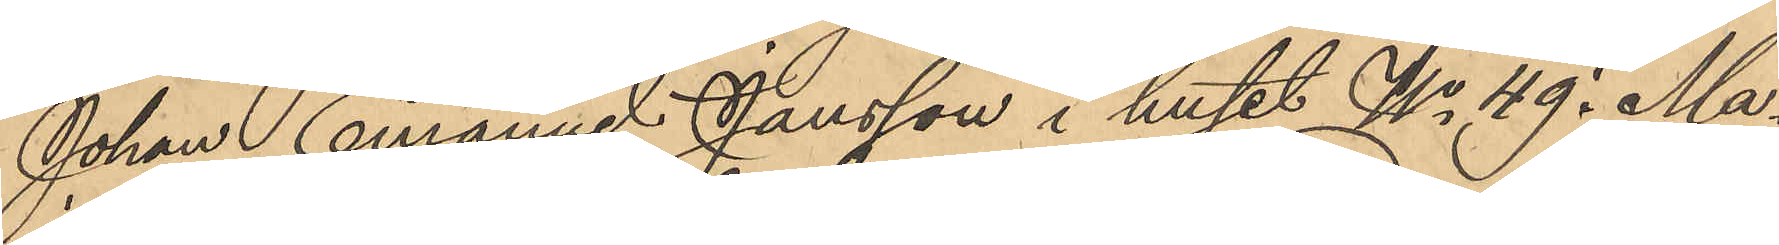Johan Emanuel Jansson i huset No 49 i Ma¬
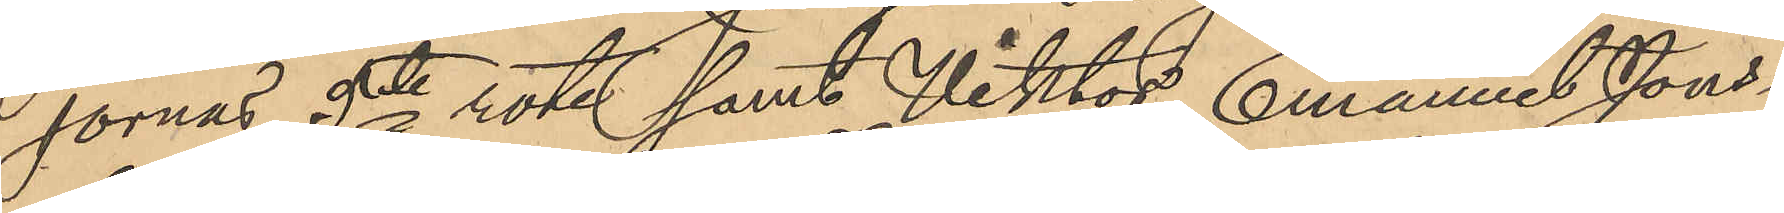jornas 5te rote samt Viktor Emanuel Jons¬
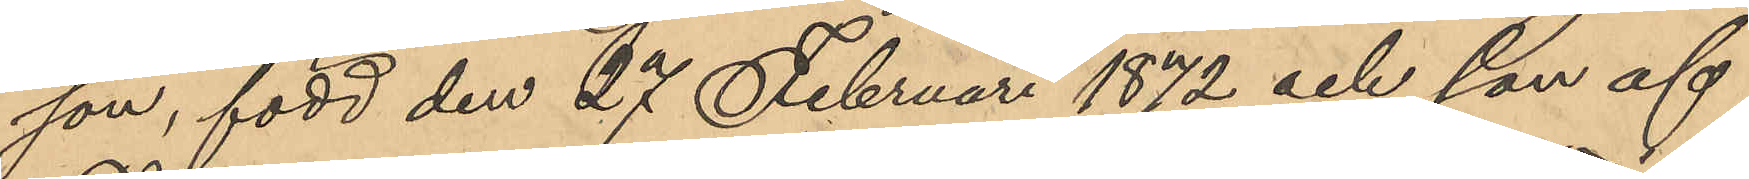son, född den 27 Februari 1872 och son af
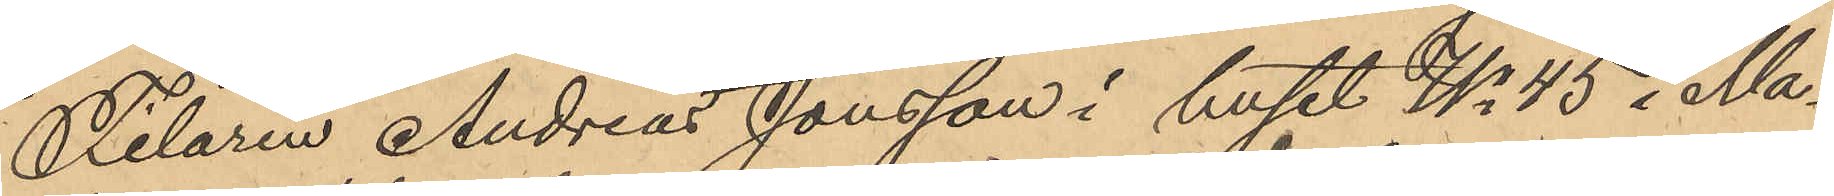Filaren Andreas Jonsson i huset No 45 i Ma¬
